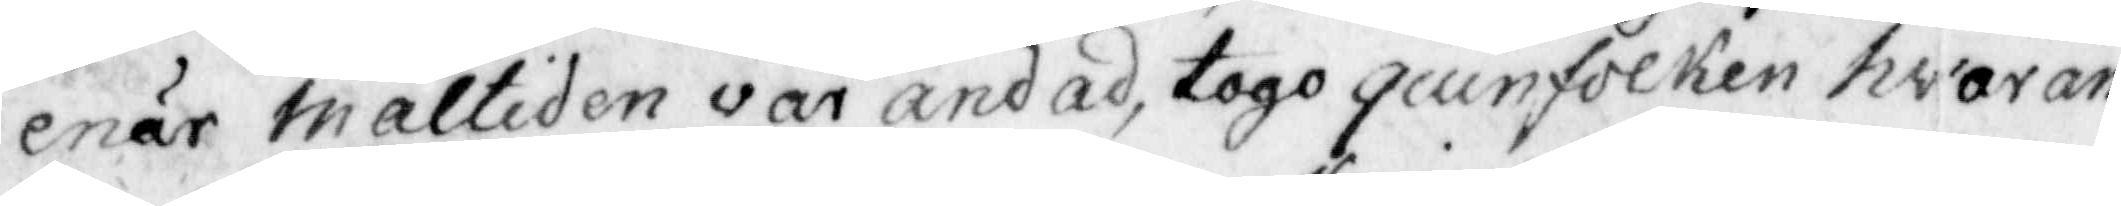enär Måltiden var ändad, togo quinfolken hvaran¬
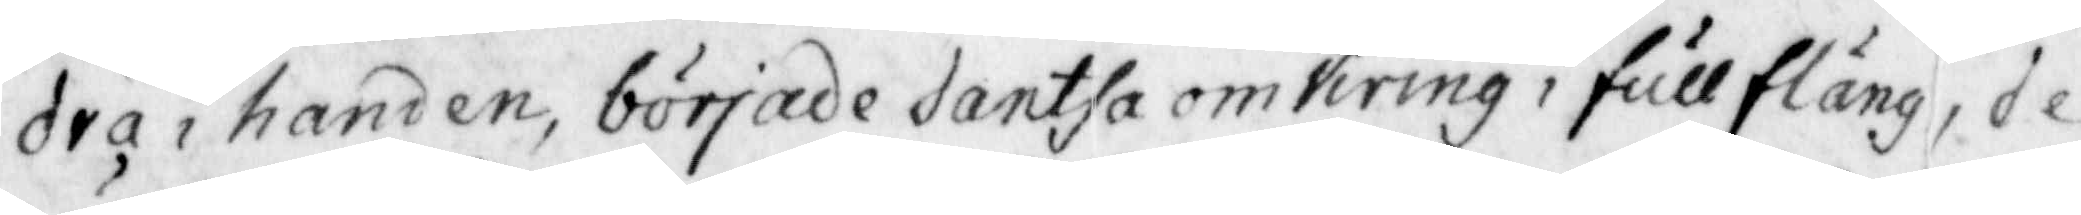dra i handen, började dantsa omkring i fullfläng, de
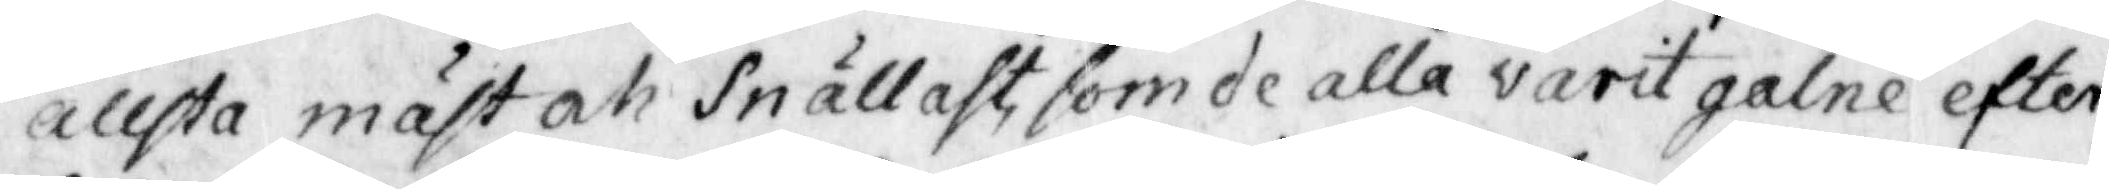ällsta mäst oh snällast, som de alla varit galne efter
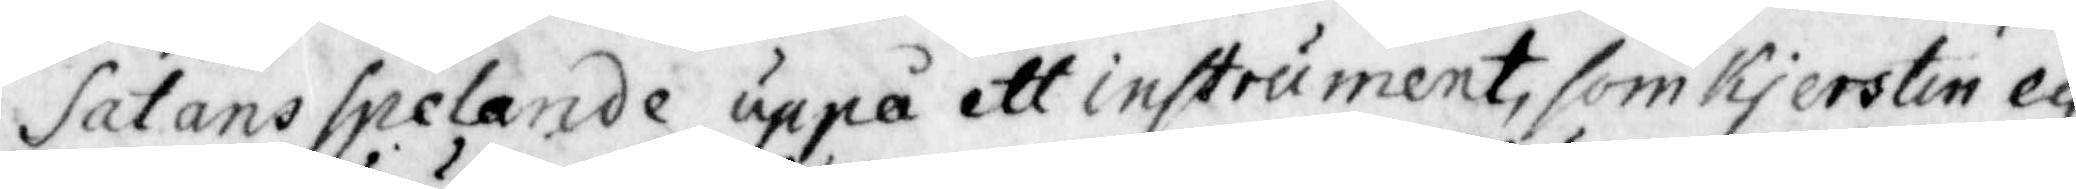Satans spelande uppa ett instrument, som Kjerstin ey
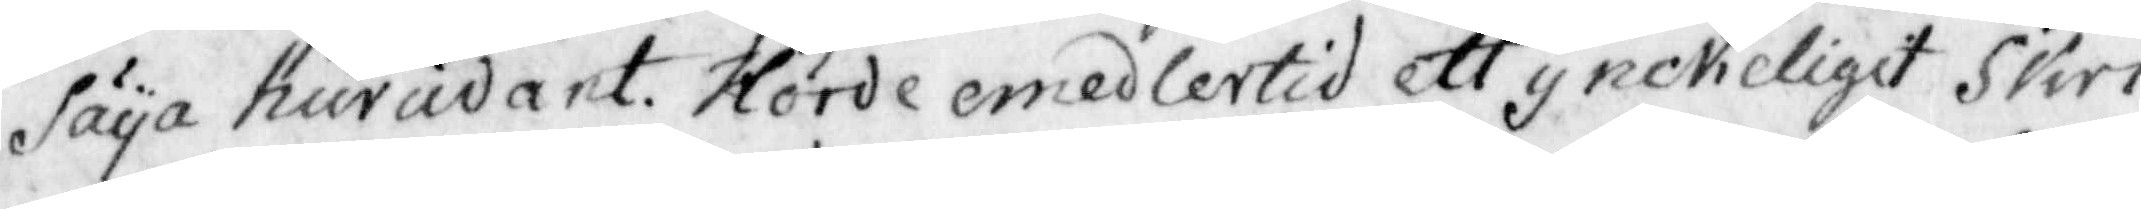säya hurudant. Sorde emedlertid ett ynckeligit Skri
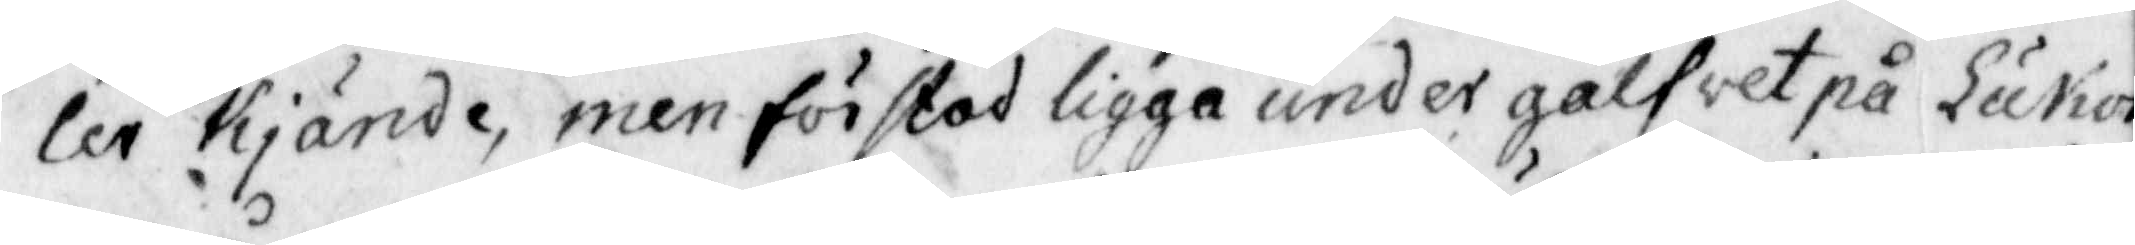ler Kjände, men förstod ligga under gålfwet på Lukor
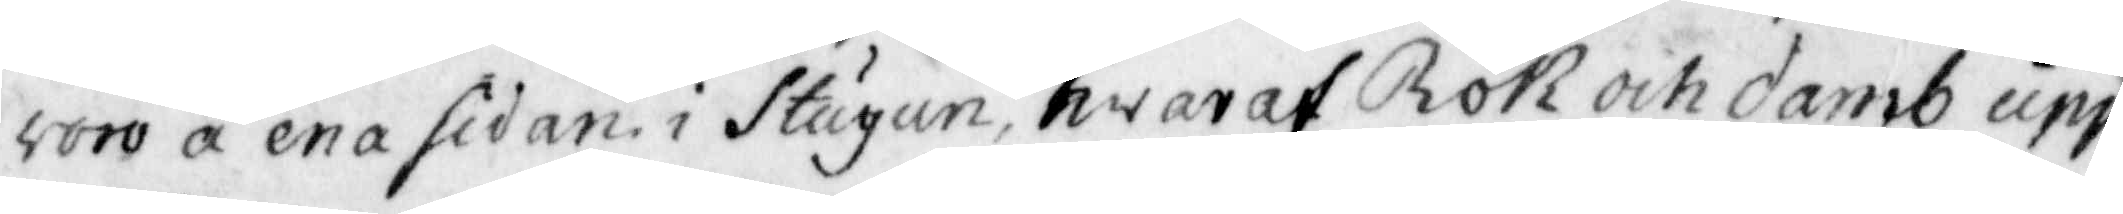voro å ena sidan i Stugun, hwaraf Rök och damb upp¬
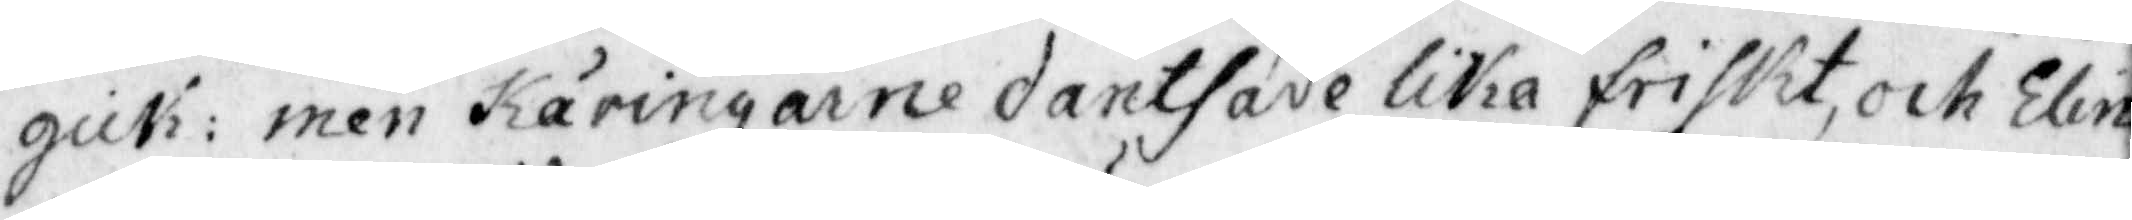gick: men Käringarne dantsade lika friskt, och Elin
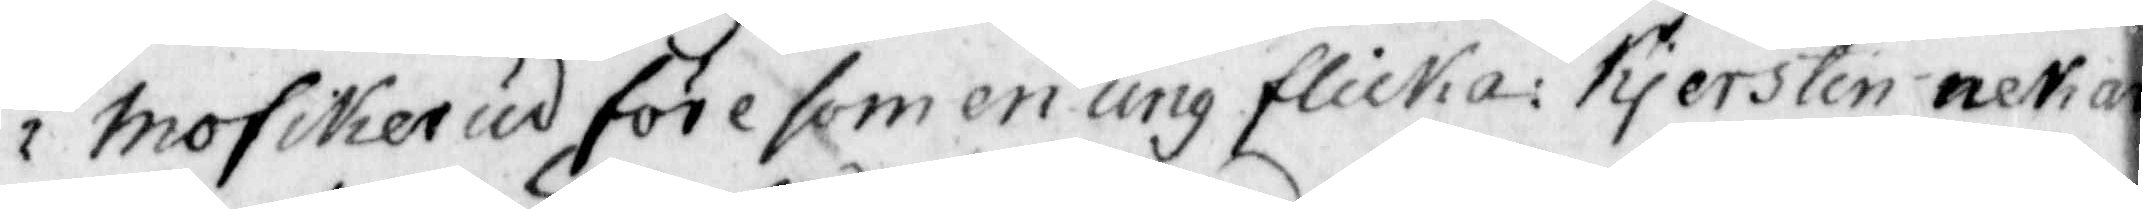Mofikerud före som en ung flicka: kjerstin nekar
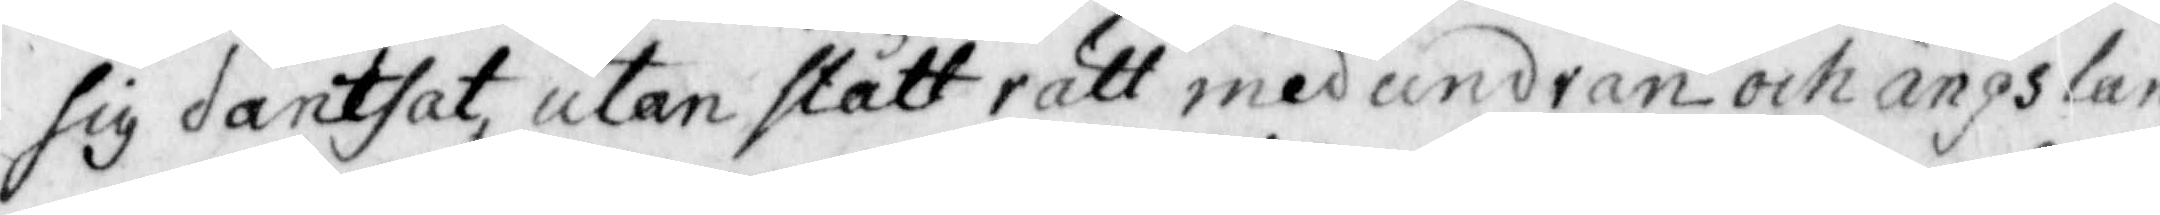sig dantsat, utan stått rätt med undran och ängslan
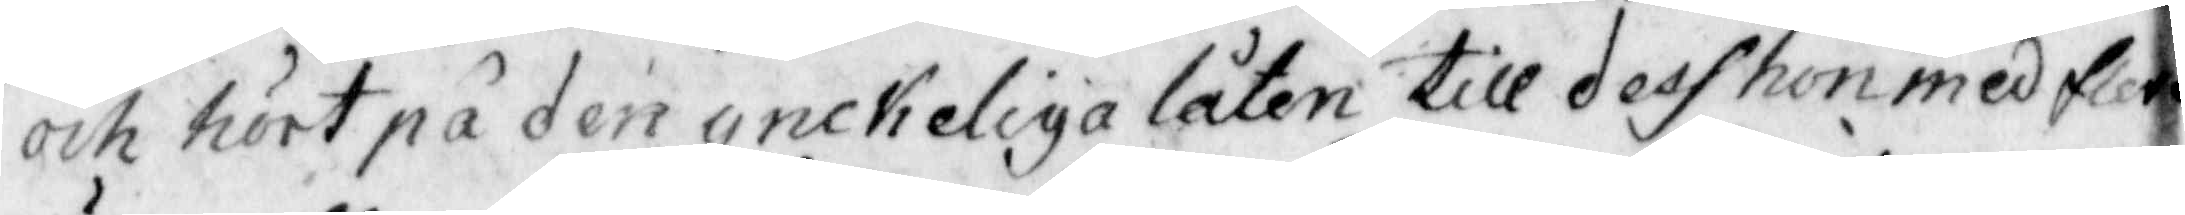och hört på den ynckeliga låten till dess hon med flera
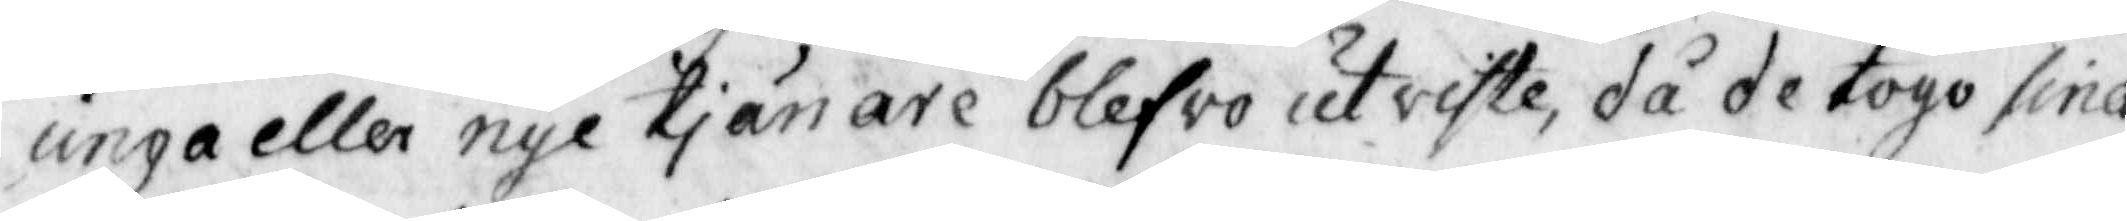unga eller nye tjänare blefro utviste, då de togo sina
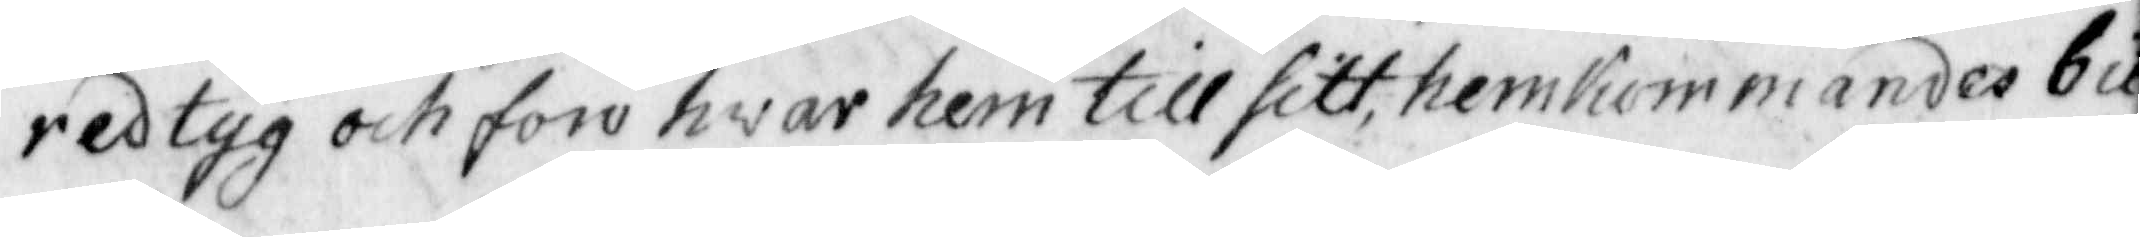redtyg och foro hwar hem till sitt, hemkommandes bit¬
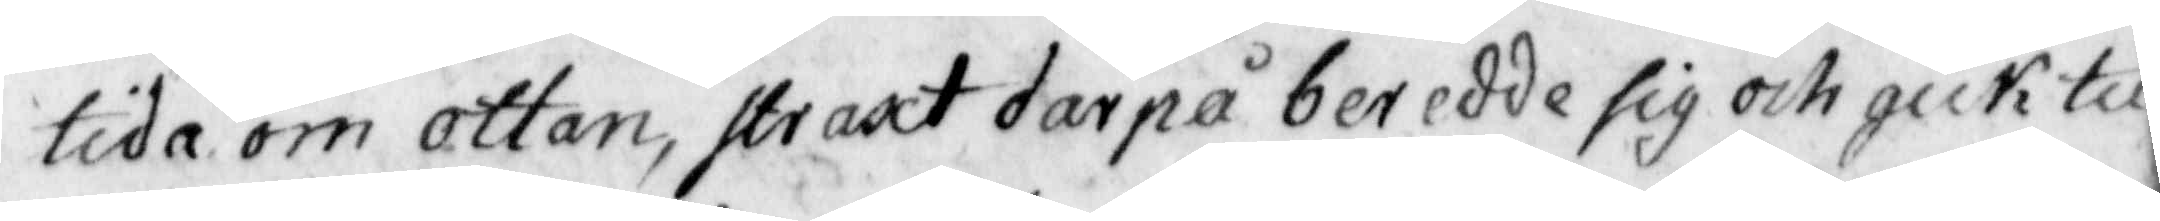tida om ottan, straxt darpå beredde sig och gick till
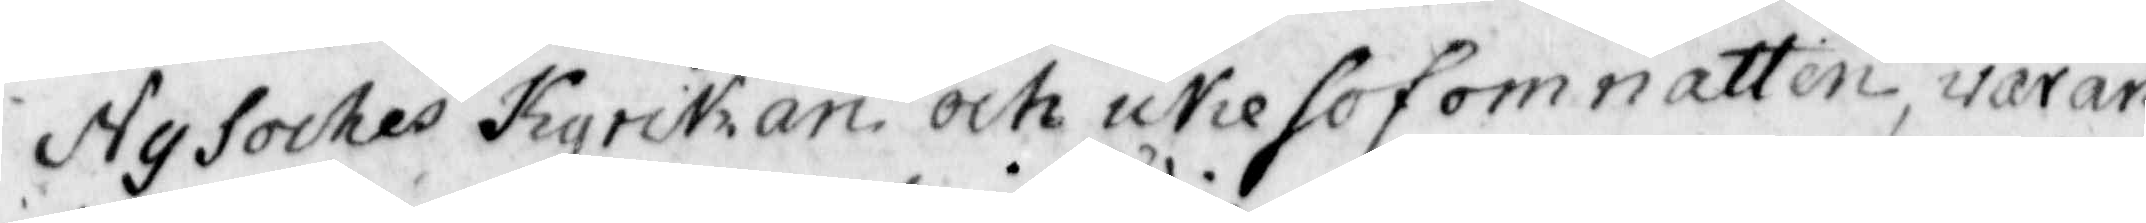Ny Sockes Kyrckan oct icke sof om natten, varan¬
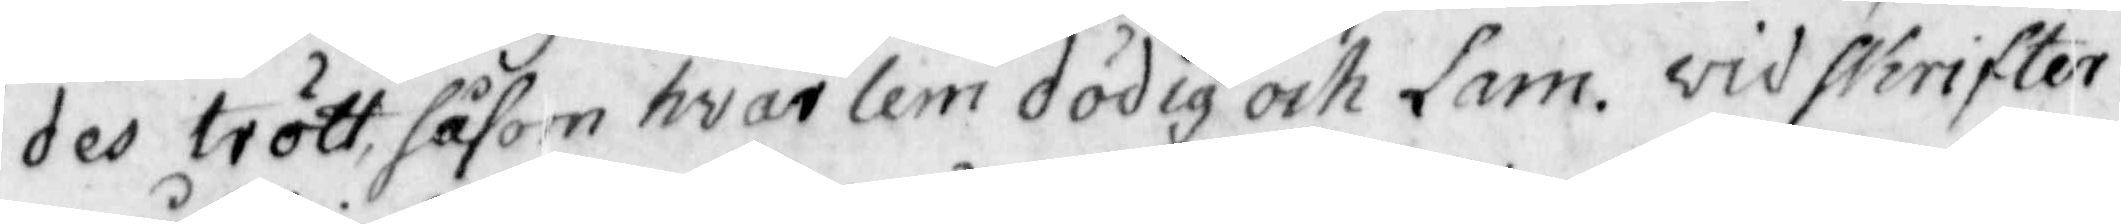des trött, såsom hvar lem dödig och lam. vid skrifter¬
